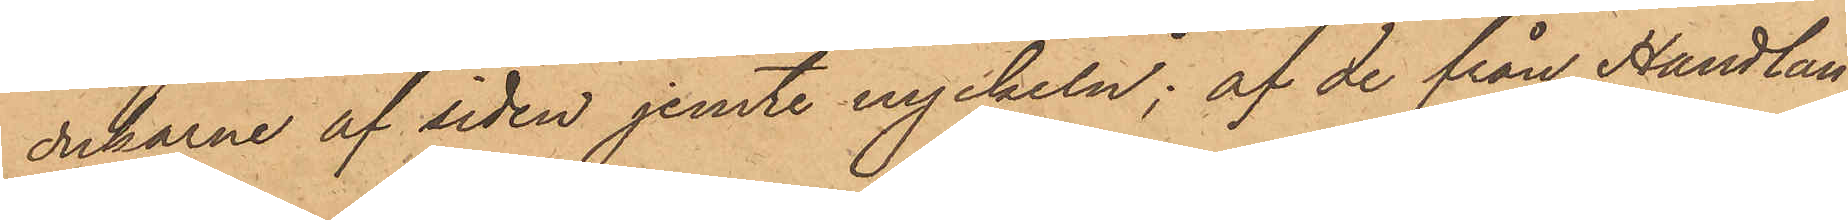dukarne af siden jemte nyckeln; af de från Handlan¬
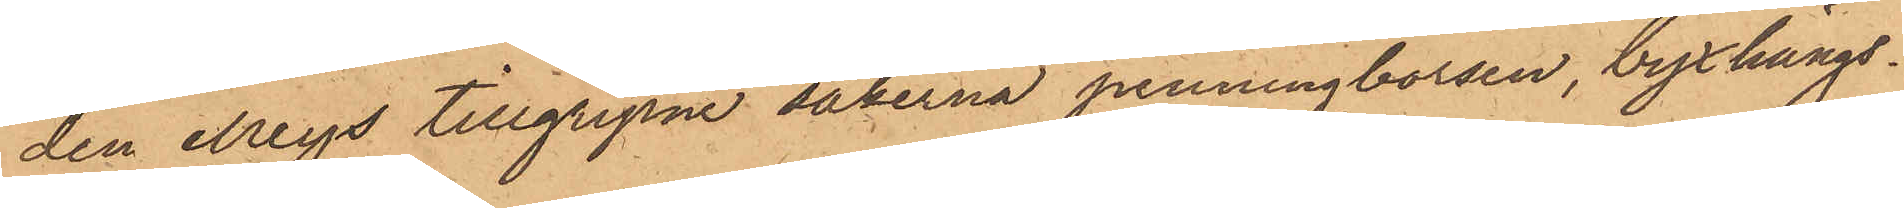den Meys tillgripne sakerna penningbörsen, byxhängs¬
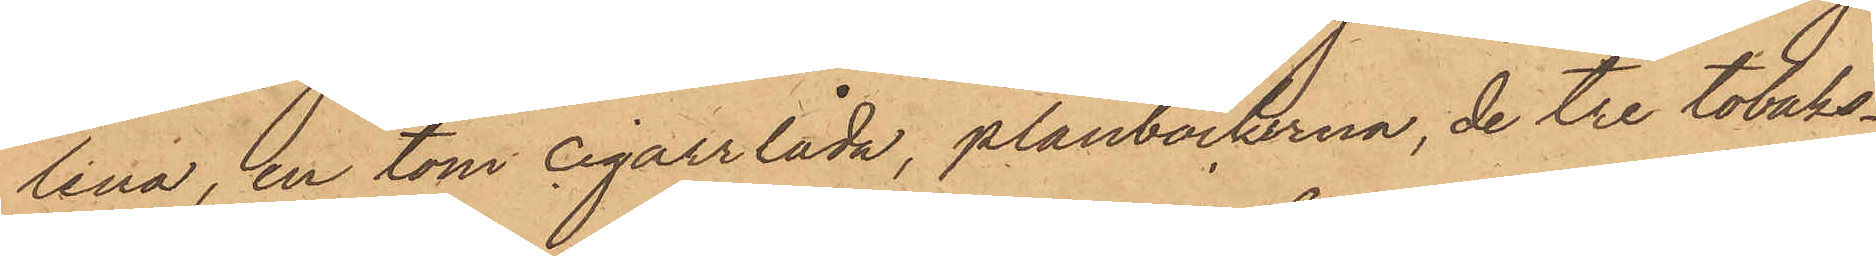lena, en tom cigarrlåda, plånböckerna, de tre tobaks¬
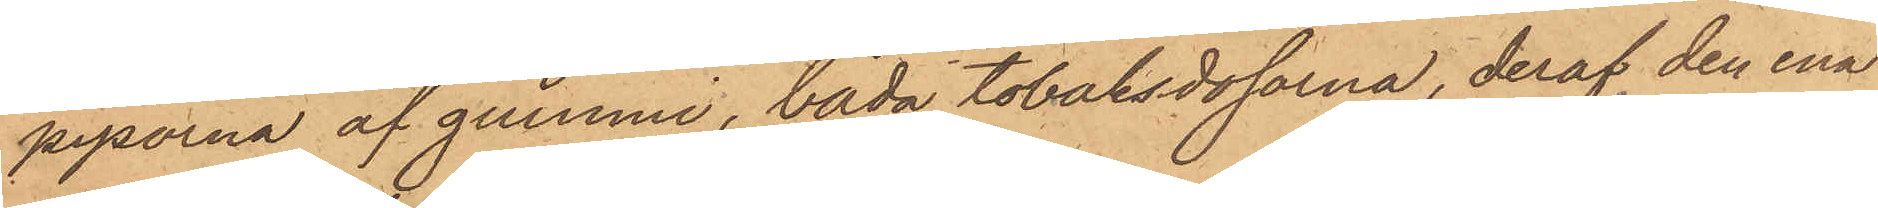piporna af gummi, båda tobaksdosorna, deraf den ena
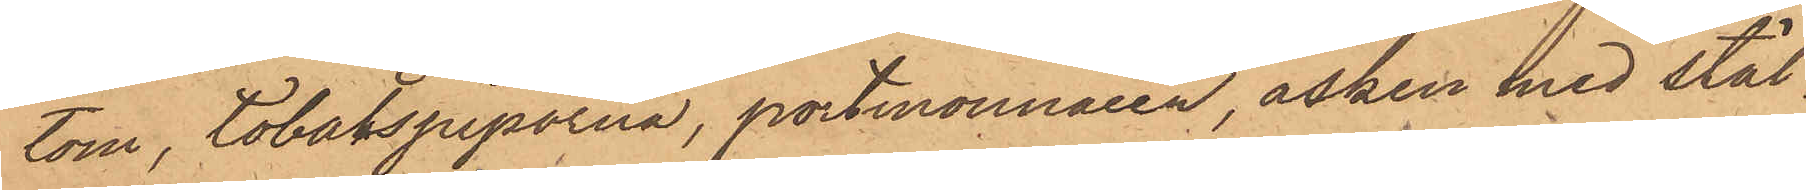tom, tobakspiporna, portmonnaien, asken med stål¬
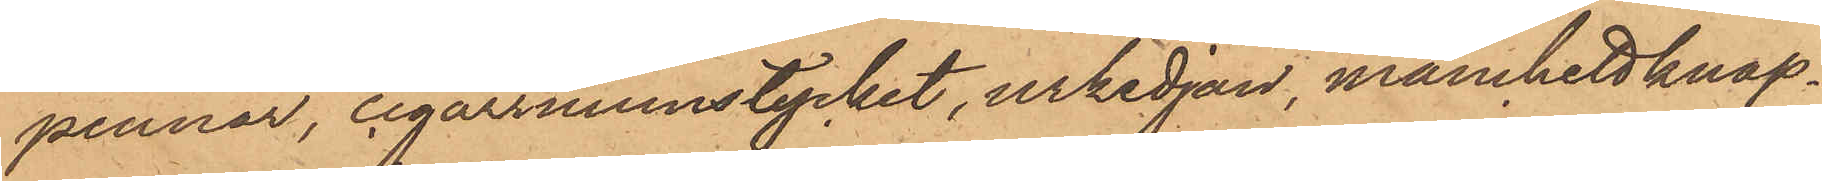pennor, cigarrmunstycket, urkedjan, manchettknap¬
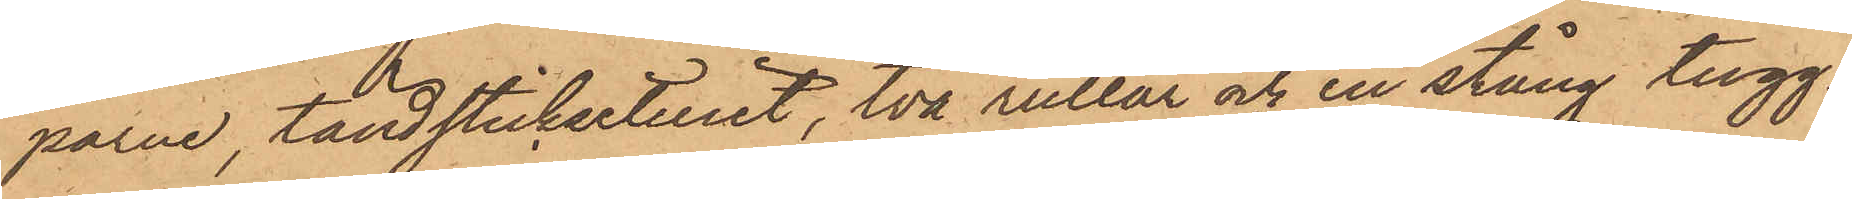parne, tändsticksetuiet, två rullar och en stång tugg¬
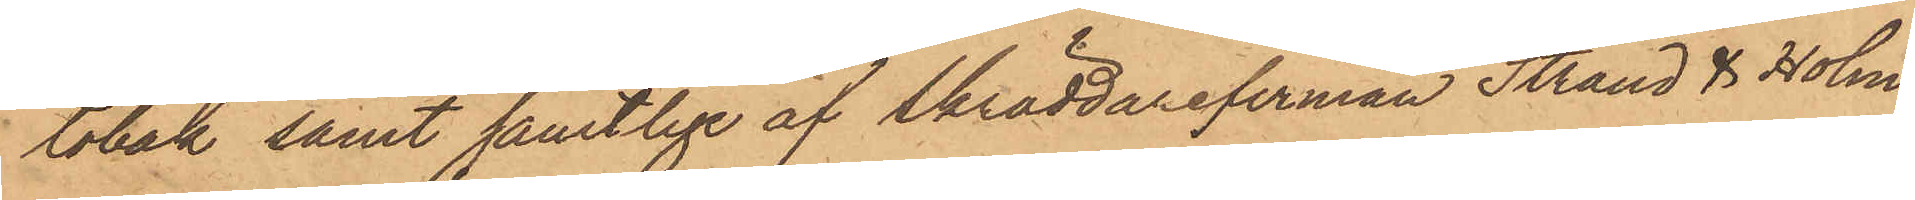tobak samt samtlige af Skräddarefirman Strand & Holm¬
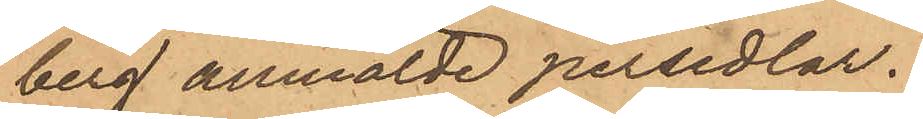berg anmälde persedlar.
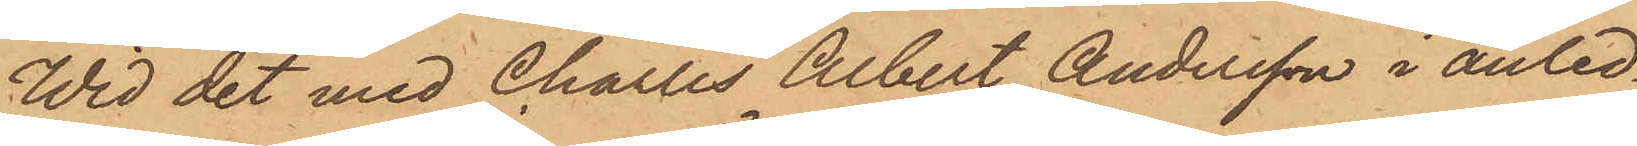Wid det med Charles Albert Andersson i anled¬
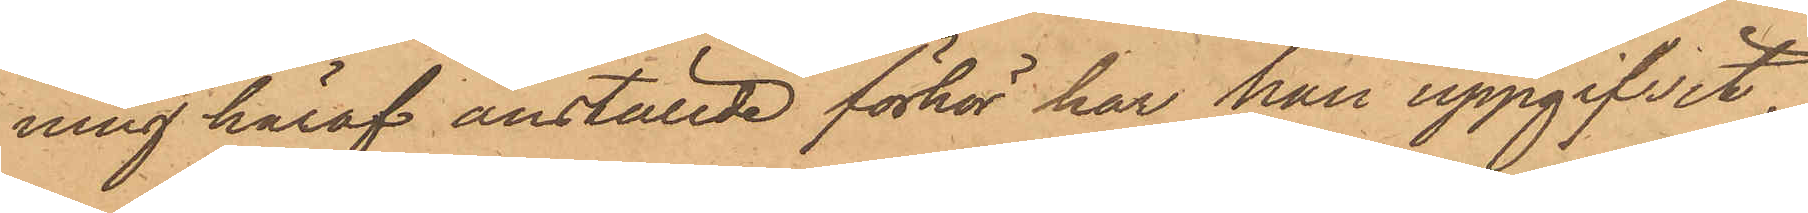ning häraf anställde förhör har han uppgifvit,
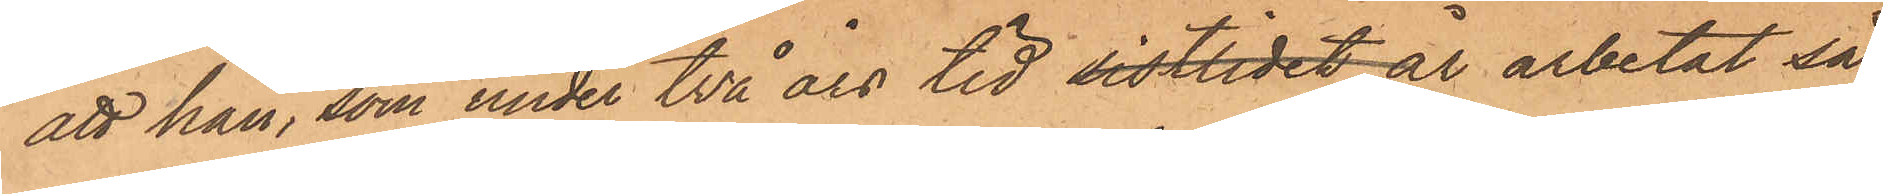att han, som under två års tid sistlidet år arbetat så
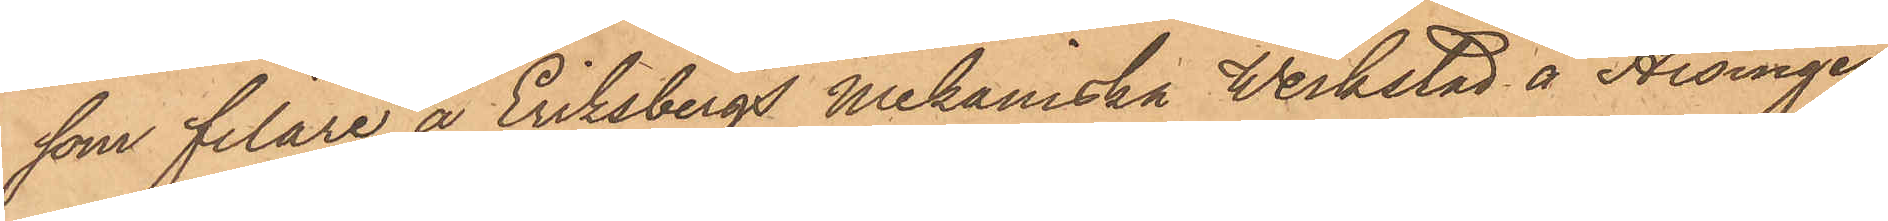som filare å Eriksbergs Mekanska Werkstad å Hisingen
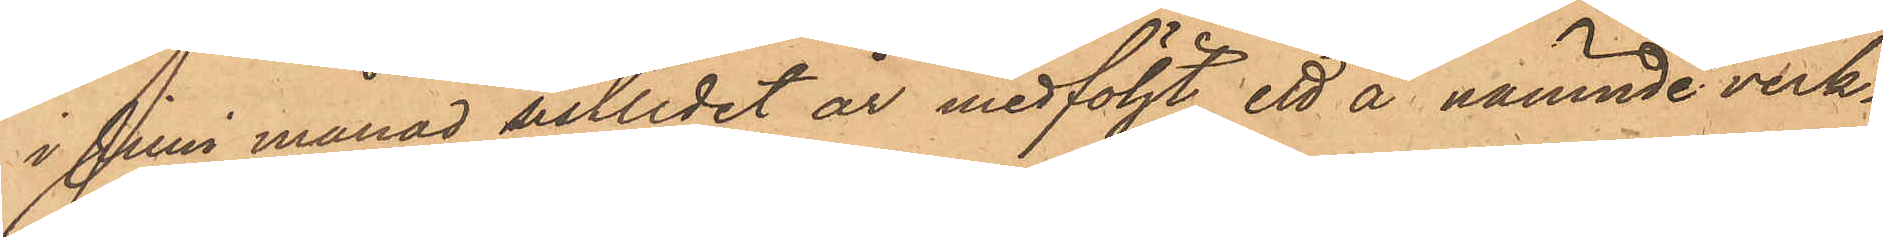i Juni månad sistlidet år medföljt ett å nämnde verk¬
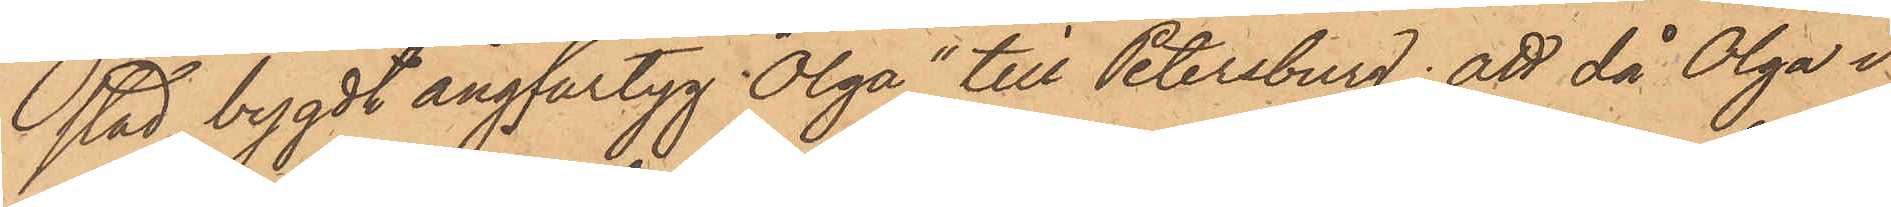stad bygdt ångfartyg, "Olga" till Petersburg; att då Olga i
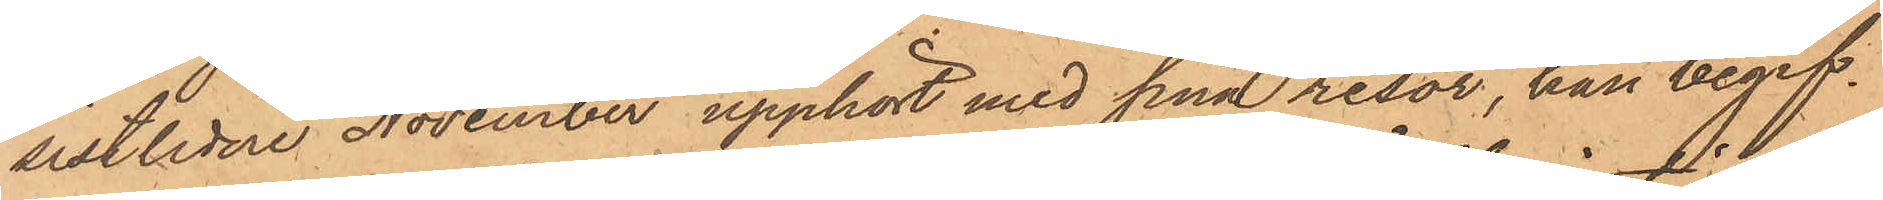sistlidne November upphört med sina resor, han begif¬
